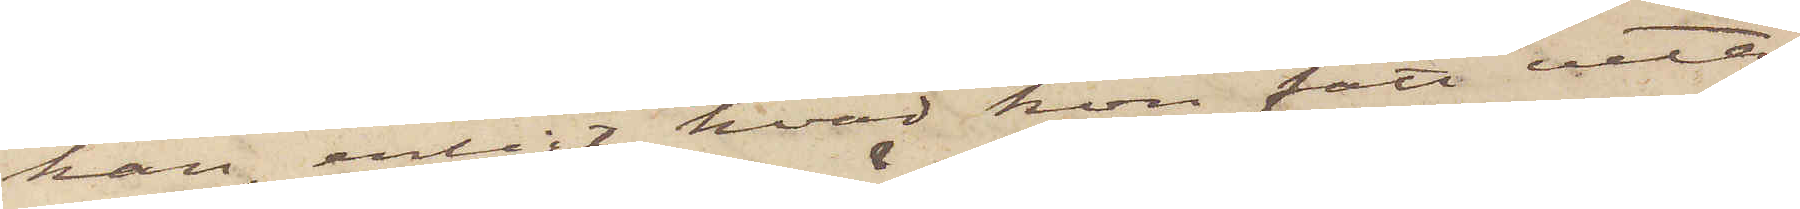han, enligt hvad hon fått veta,
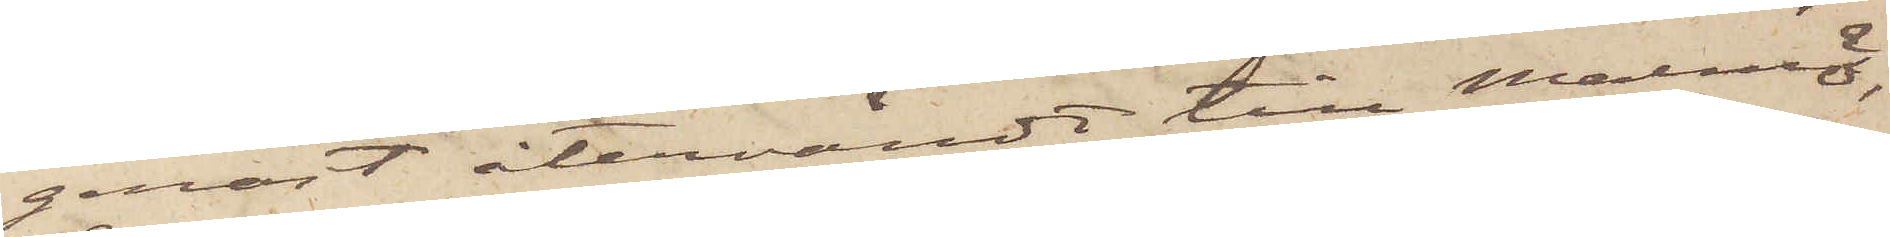genast återvändt till Malmö,
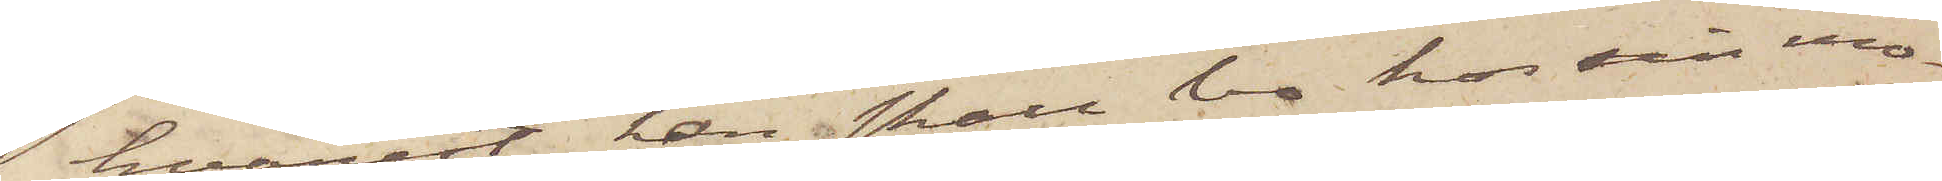hvarest han i skall bo hos sin mo¬
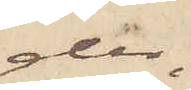der,
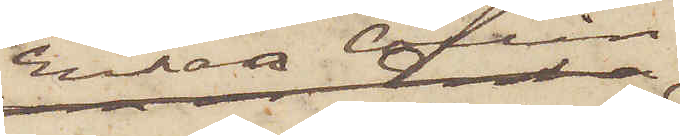Enkan Collin,
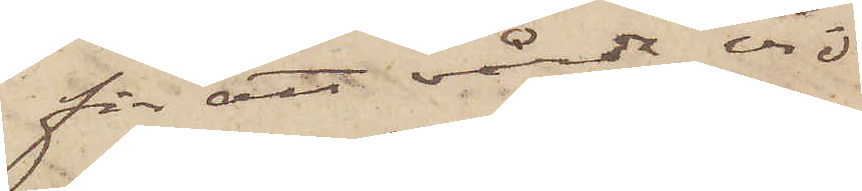för att vårda vid
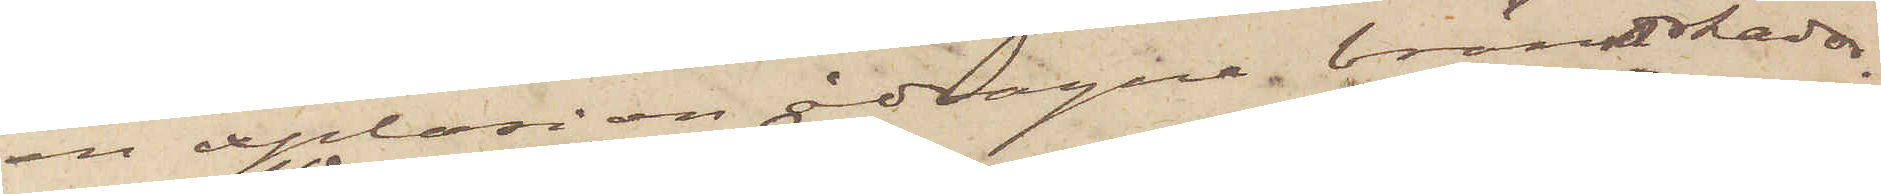en explosion ådragne brännskador.
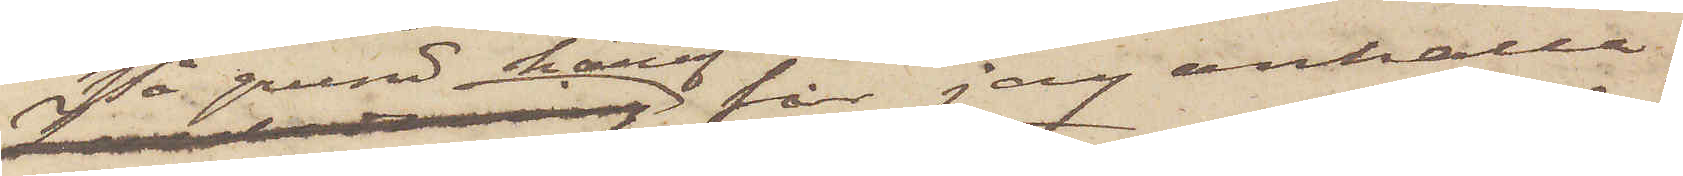På grund häraf får jag anhålla,
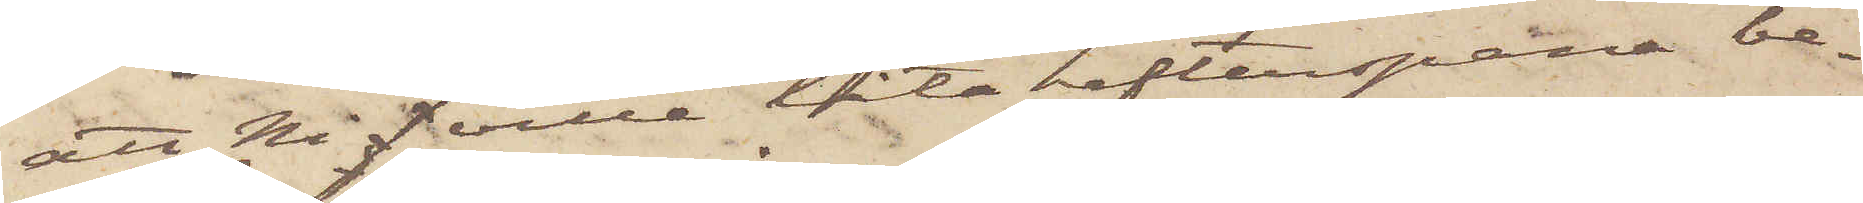att Ni f ville låta efterspana be¬
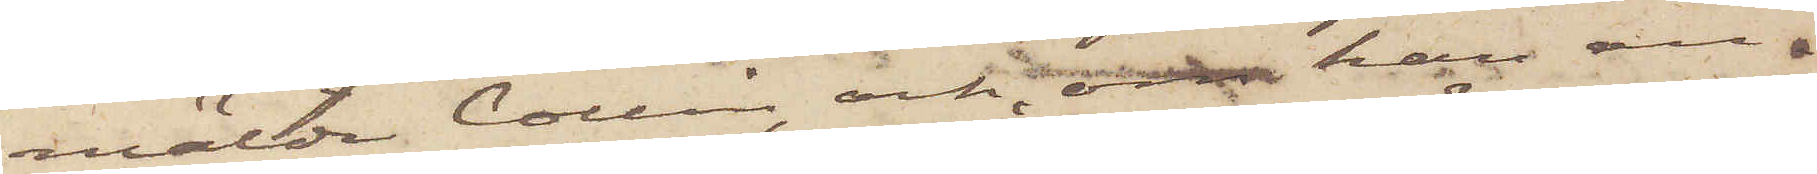mälde Collin och, om han an¬
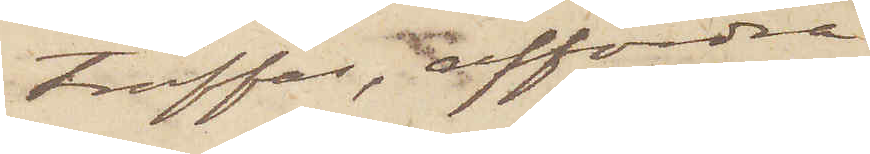träffas, affordra
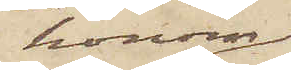honom
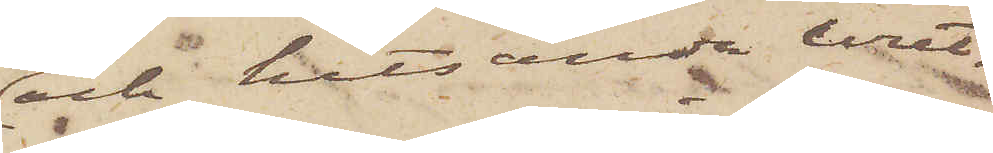och hitsända uret,
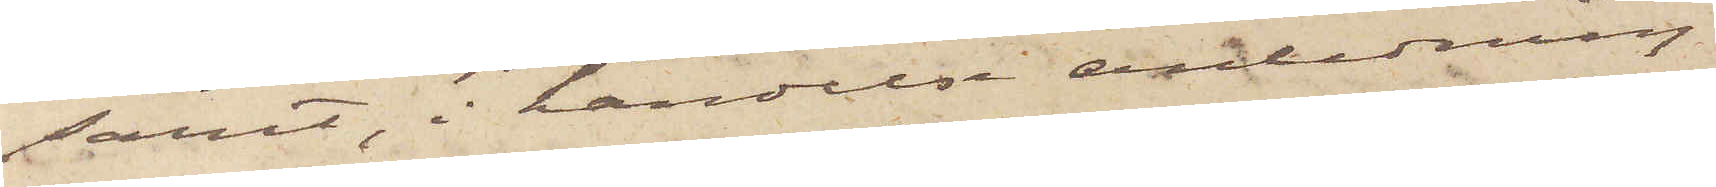samt, i händelse anledning
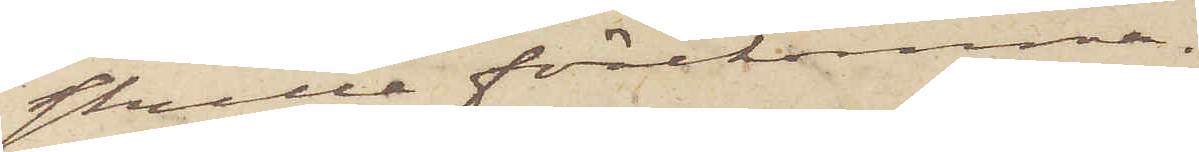skulle förekomma,
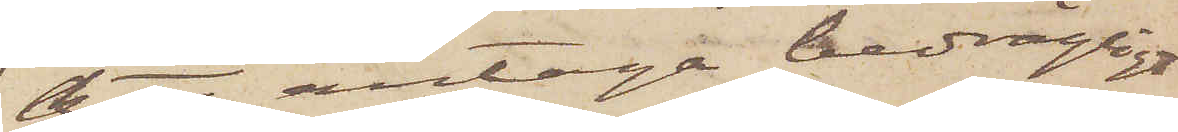att antaga bedrägligt
